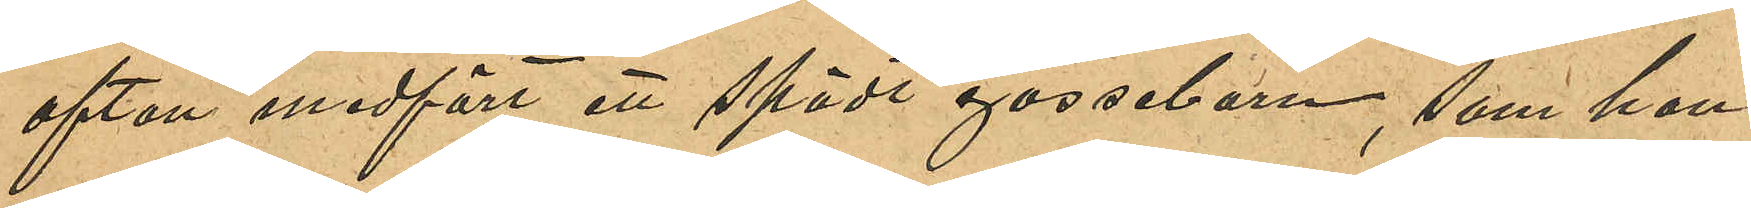afton medfört ett spädt gossebarn, som hon
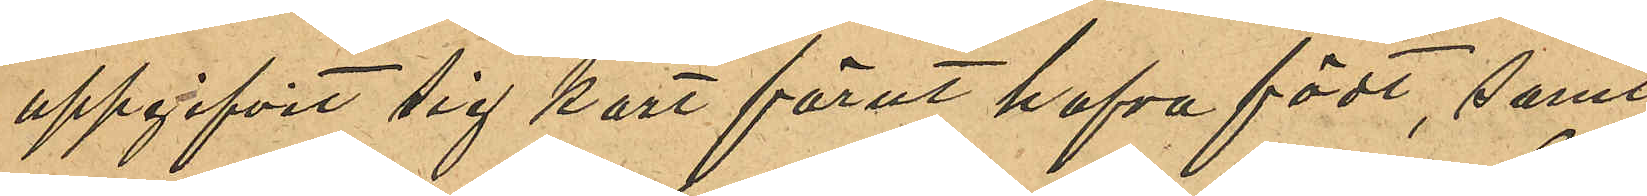uppgifvit sig kort förut hafva födt, samt
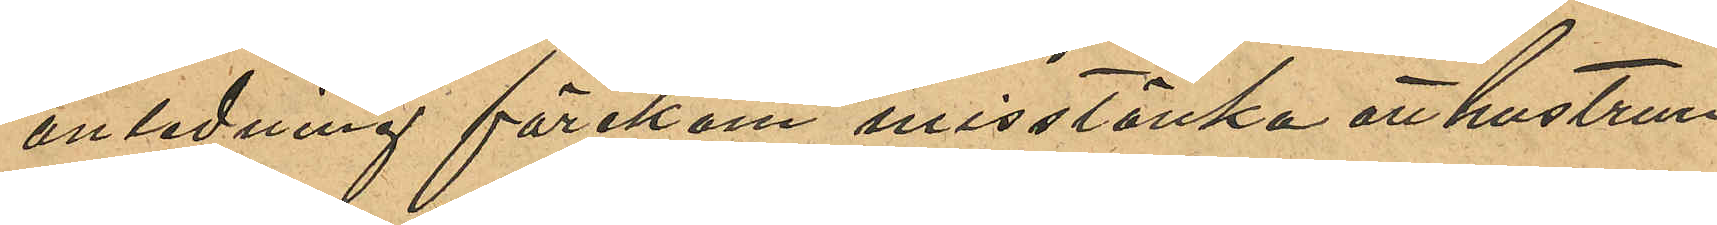anledning förekom misstänka att hustrun
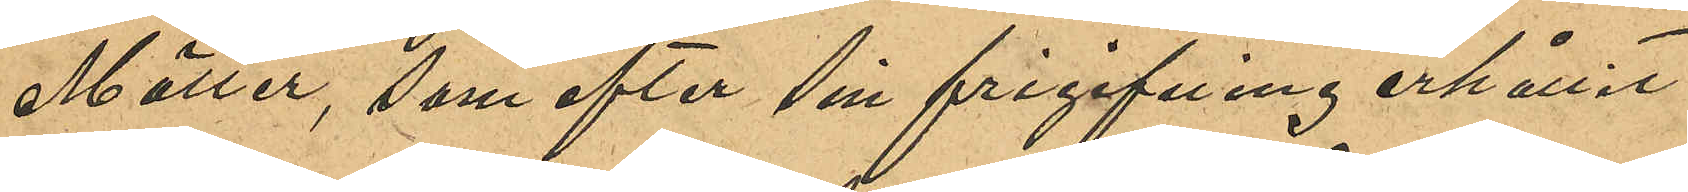Möller, som efter sin frigifning erhållit
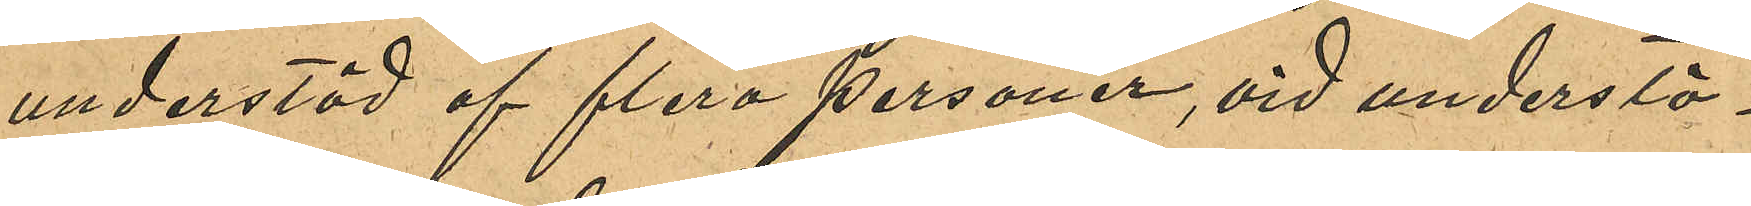understöd af flera personer, vid understö¬
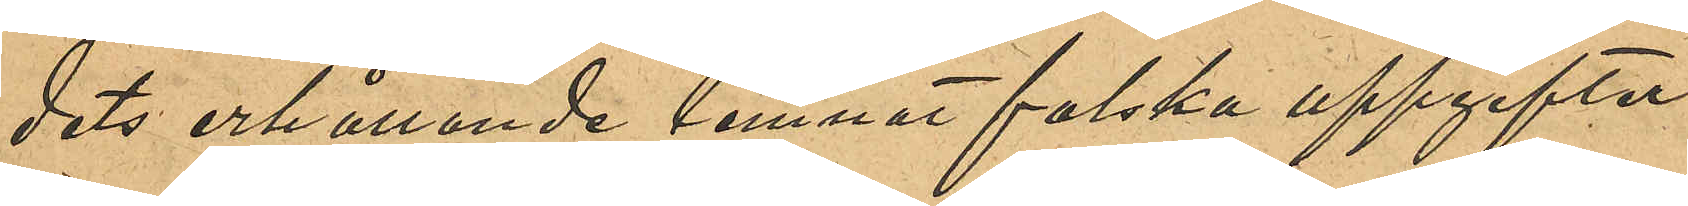dets erhållande lemnat falska uppgifter
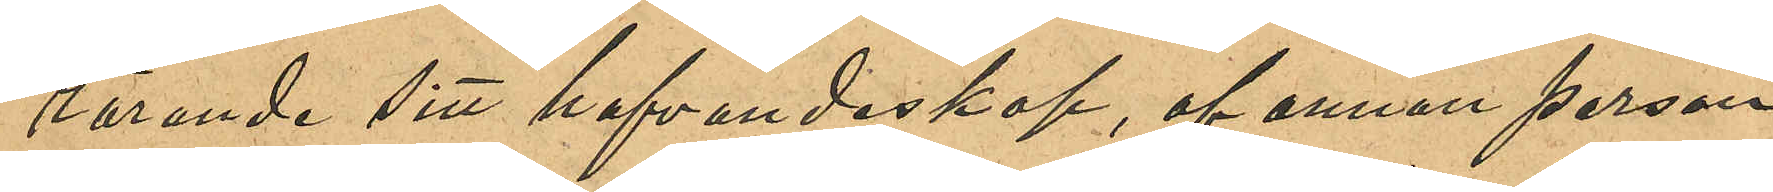rörande sitt hafvandeskap, af annan person
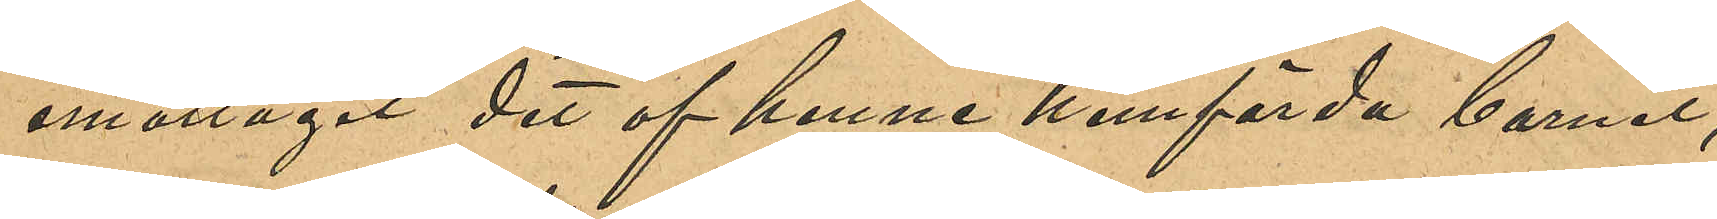emottagit det af henne hemförda barnet,
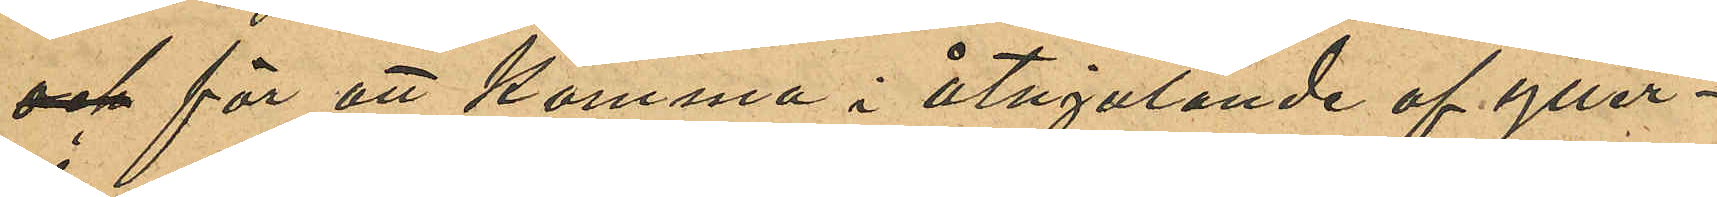och för att komma i åtnjutande af ytter¬
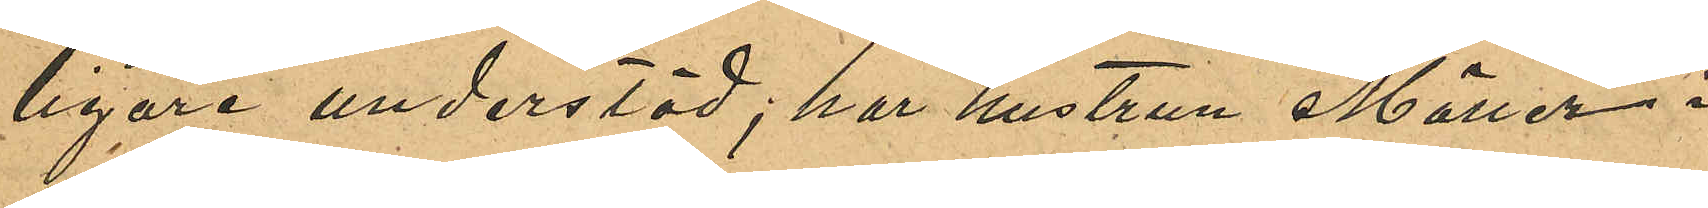ligare understöd; har hustrun Möller i
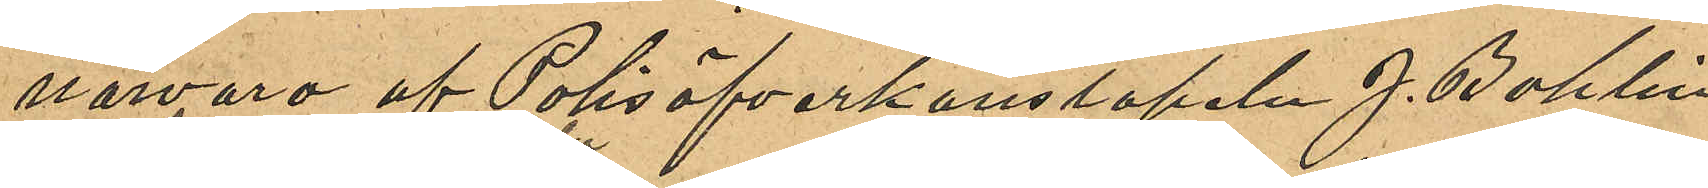närvaro af Polisöfverkonstapeln J. Bohlin
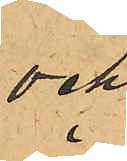och
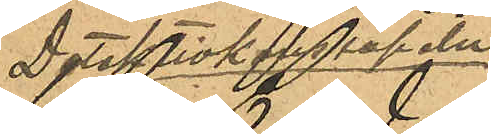Detektivkonstapeln
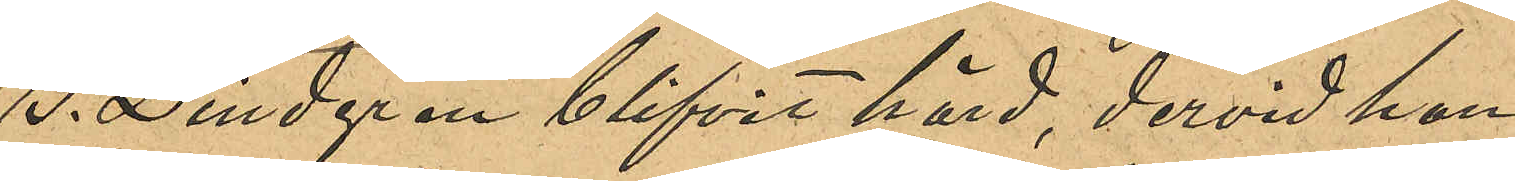G. Lindgren blifvit hörd, dervid hon
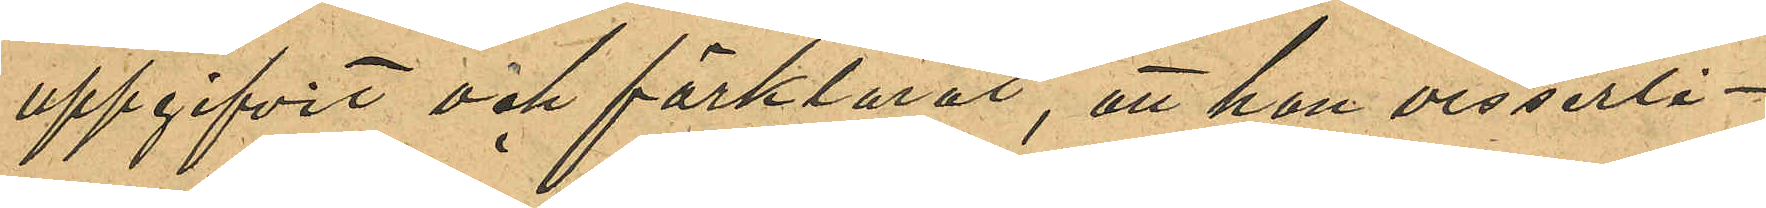uppgifvit och förklarat, att hon visserli¬
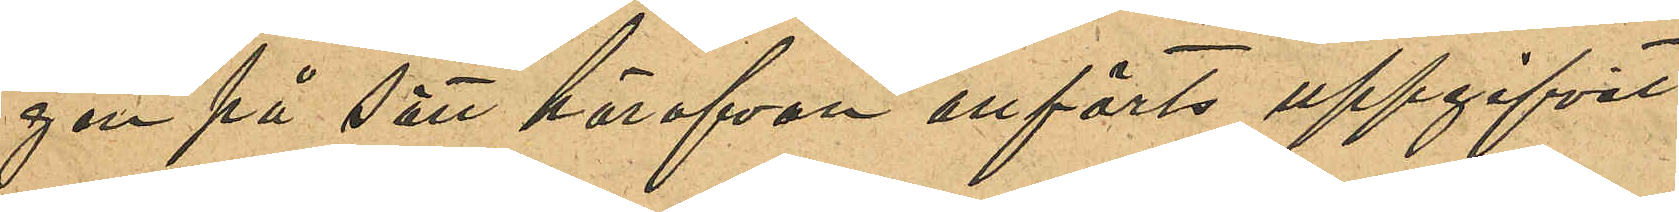gen på sätt härofvan anförts uppgifvit
